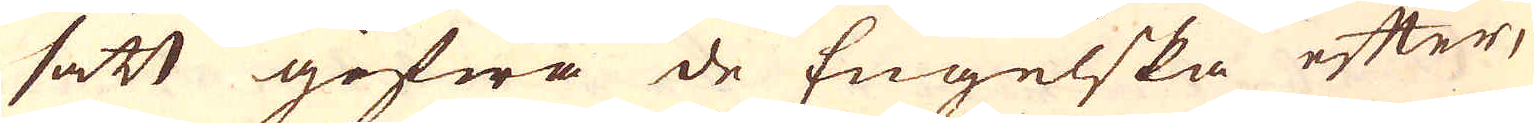sätt gifwa de Engelska efter,
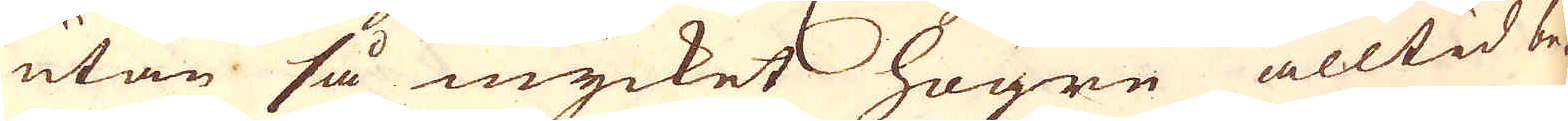utan så mycket högre alltid be-
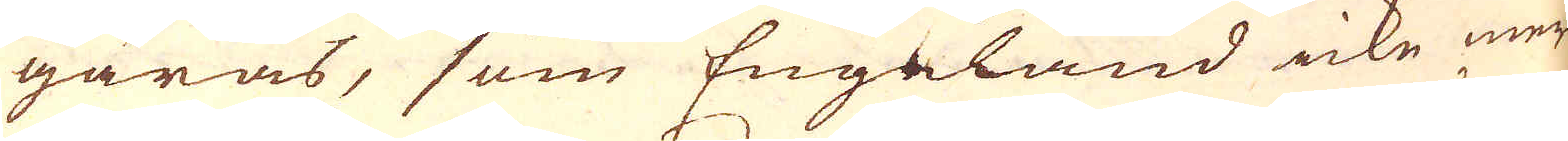gäras, som Engeland icke mer
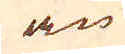än
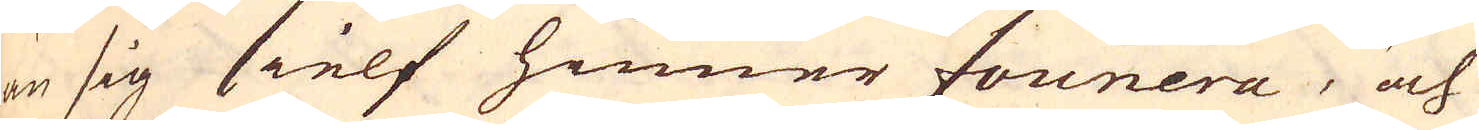än sig sielf hinner founera, och
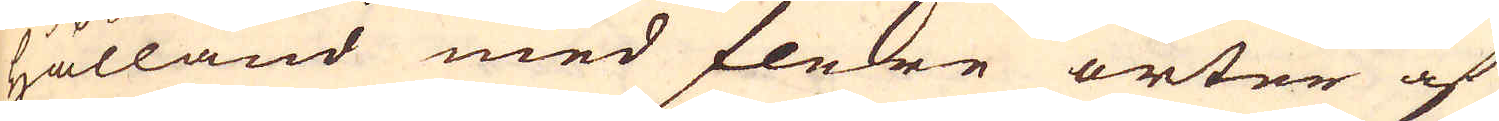Hålland med flere orter af
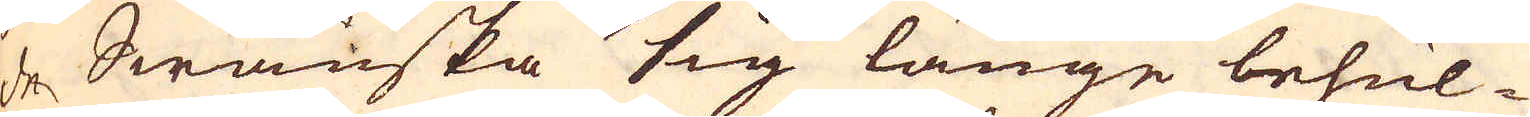de Swänska sig länge behul-
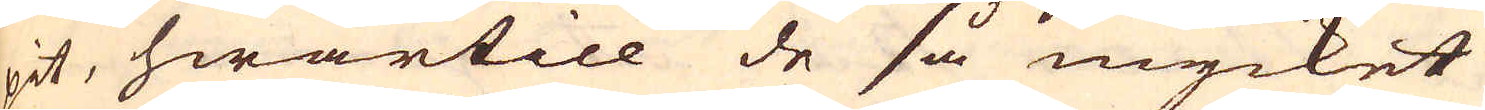pit, hwartill de så mycket
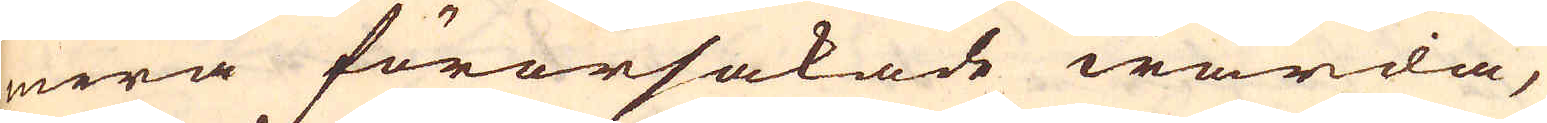mera förorsakade warda,
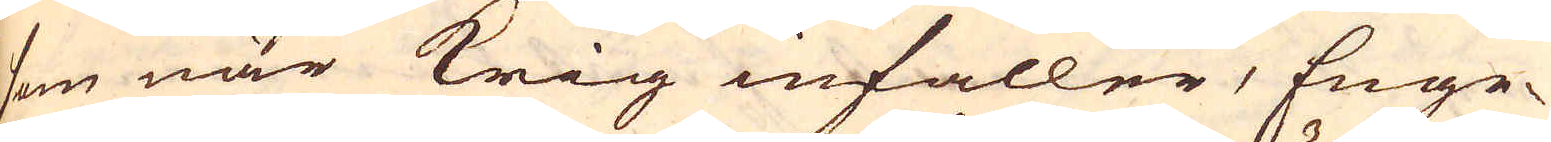som när Krig infaller, Enge-
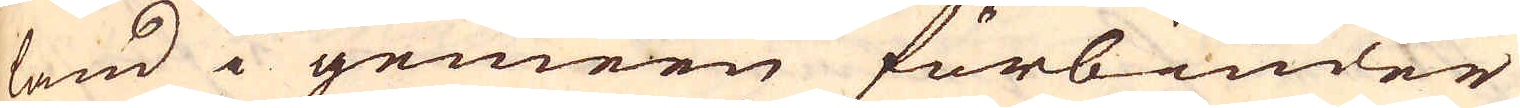land i gemeen förbiuder
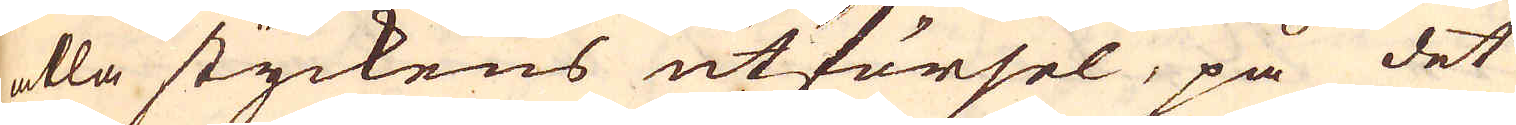alla styckens utförsel, på det
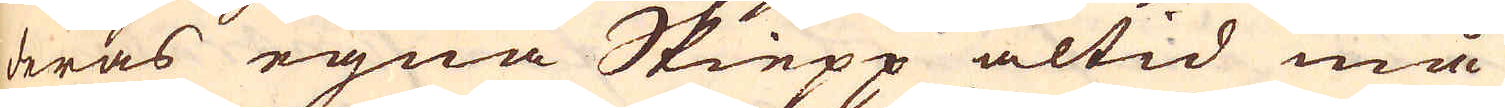deras egna Skiepp altid må
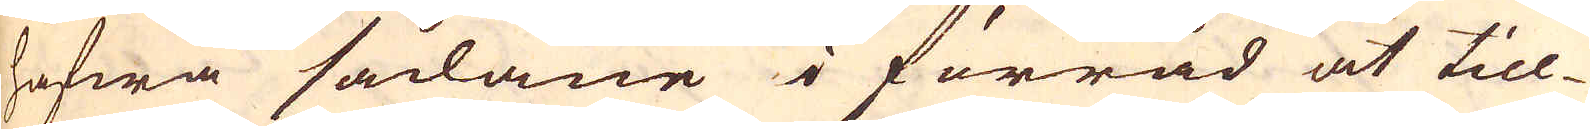hafwa sådane i förråd at till-
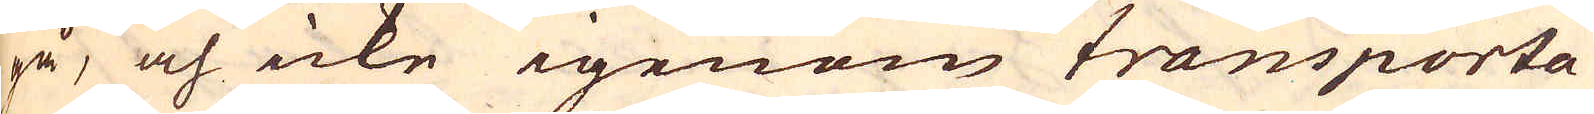gå, och icke igenom transporta-
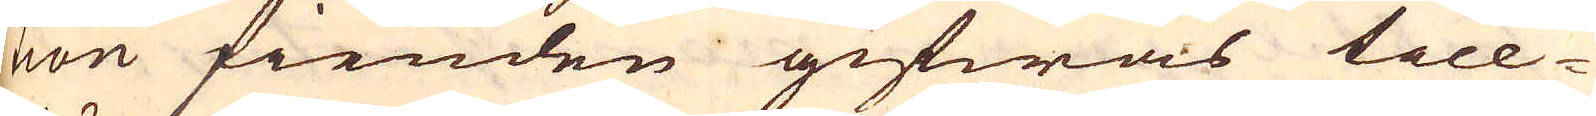tion fienden gifwas till-
